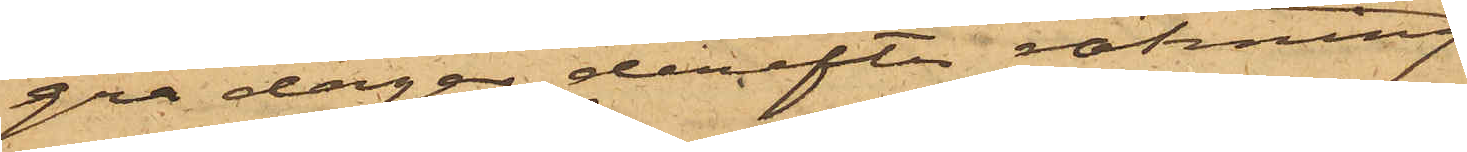gra dagar derefter räkning
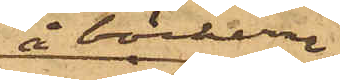å böckerna
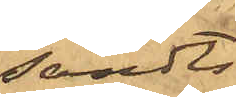sändts
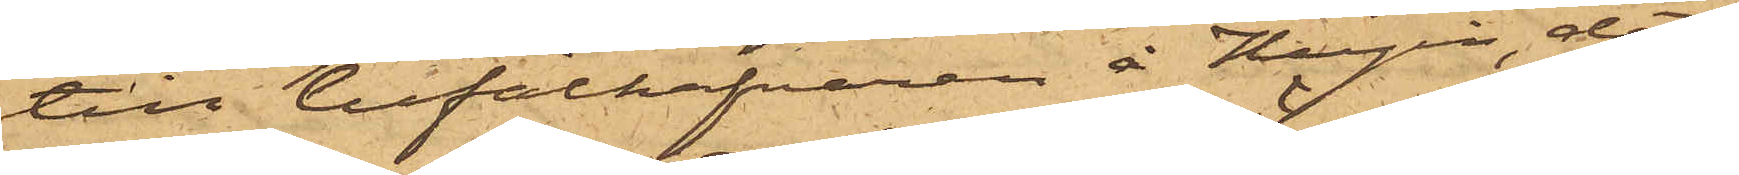till befälhafvaren å Hugin, det
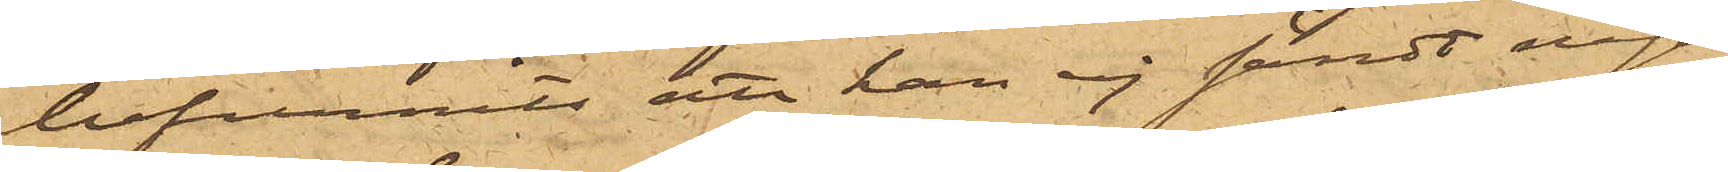befunnits att han ej sändt någon
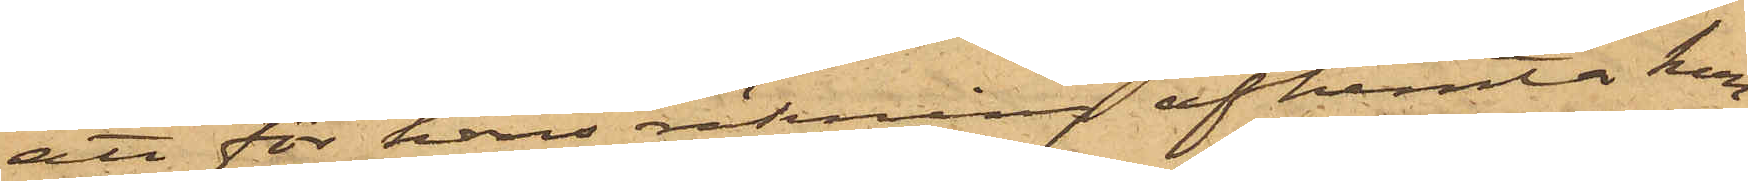att för hans räkning afhemta kon¬
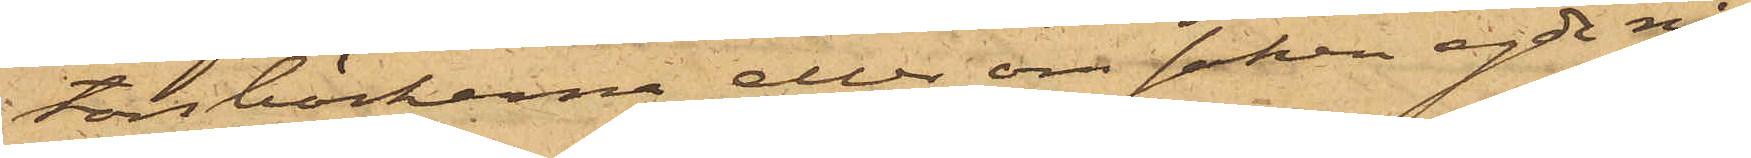torsböckerna eller om saken egde nå¬
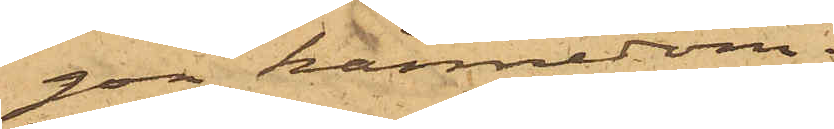gon kännedom;
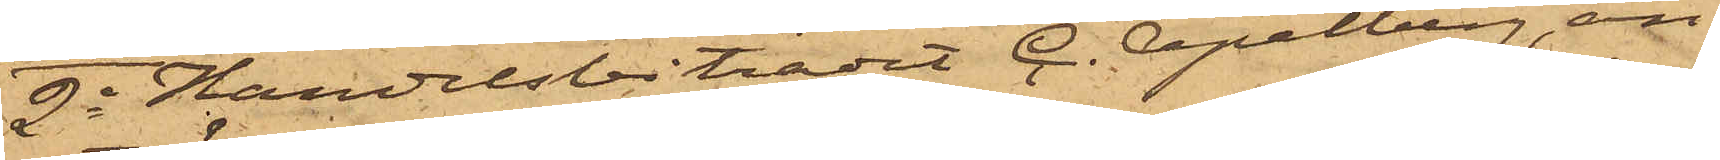2o Handelsbiträdet C. Apelberg, an¬
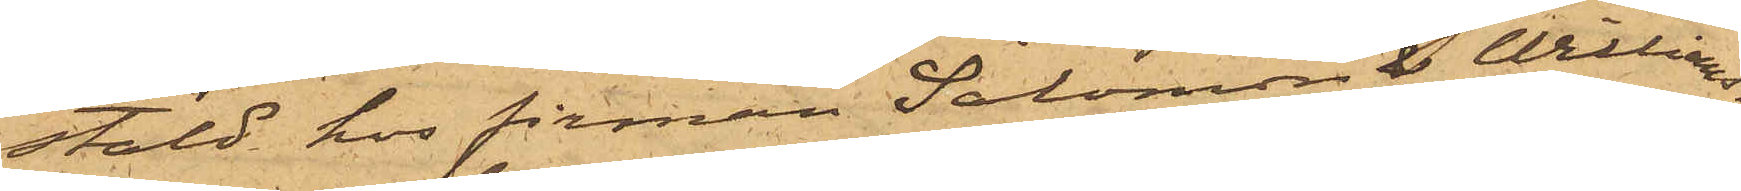stäld hos firman Salomon & William¬
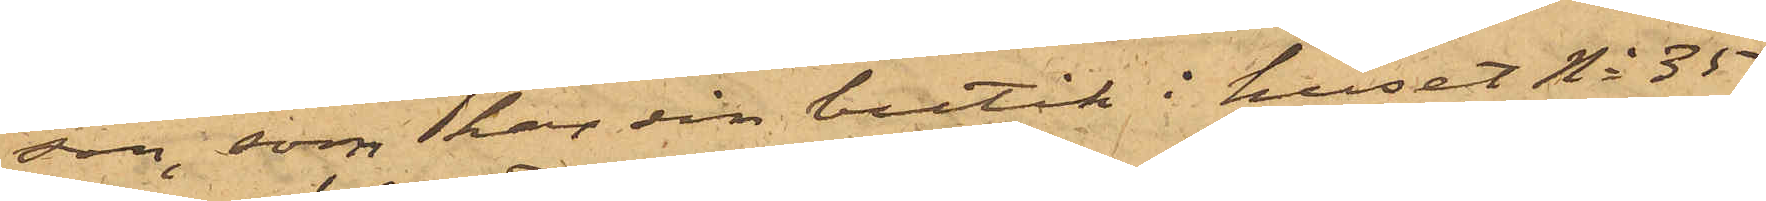son, som har sin butik i huset No 35
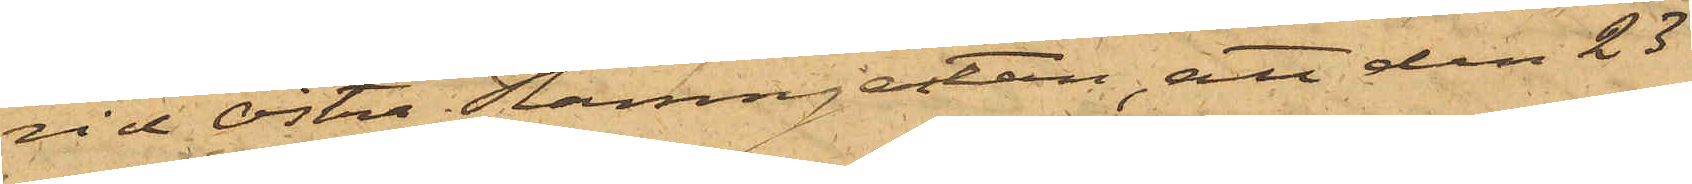vid Östra Hamngatan, att den 23
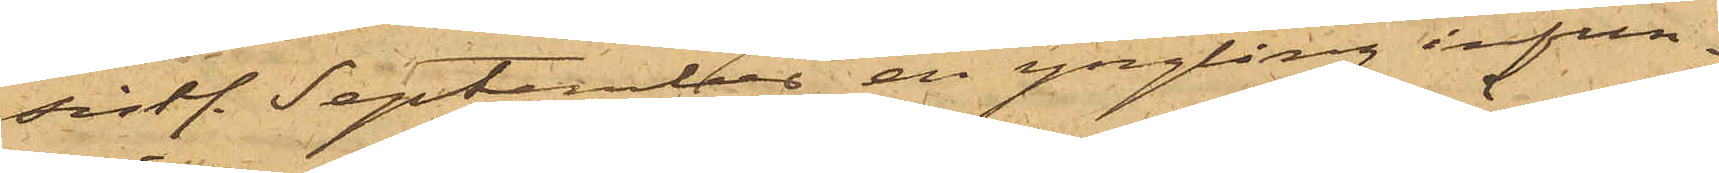sistl September en yngling infun¬
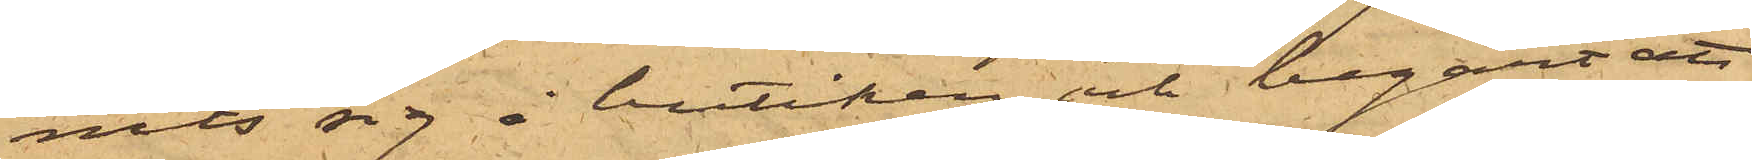nits sig i butiken och begärt att
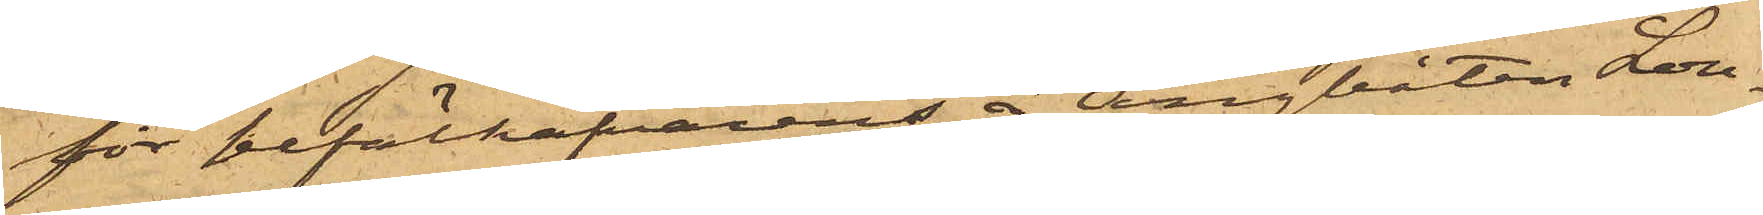för befälhafvarens å Ångbåten Lou¬
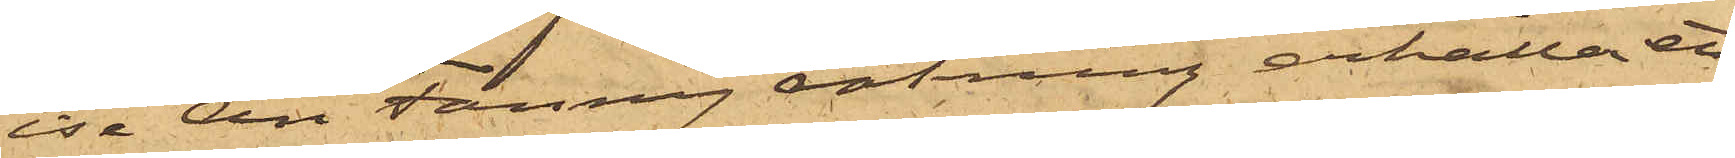ise Ann Fanny räkning erhålla ett
